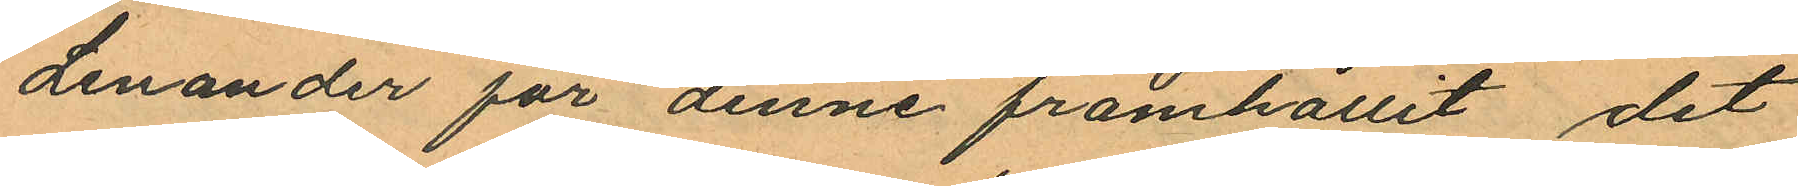Lenander för denne framhållit det
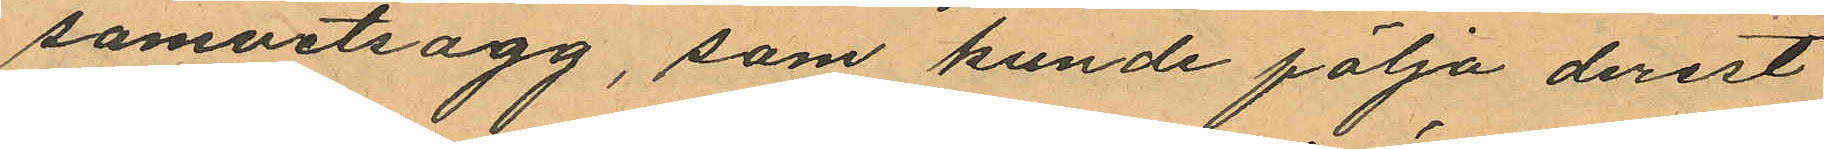samvetsagg, som kunde följa derest
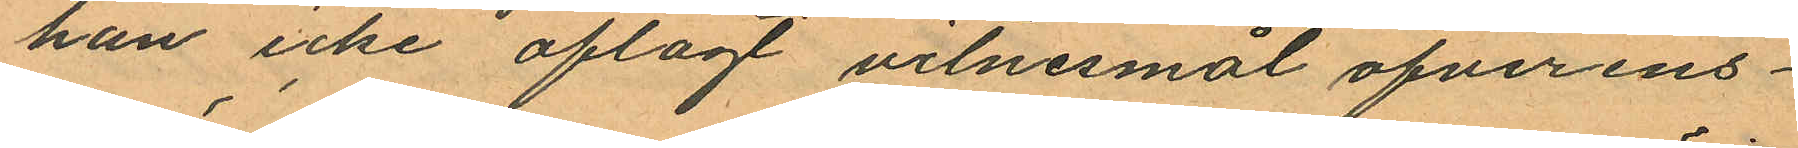han icke aflagt vitnesmål öfverens¬
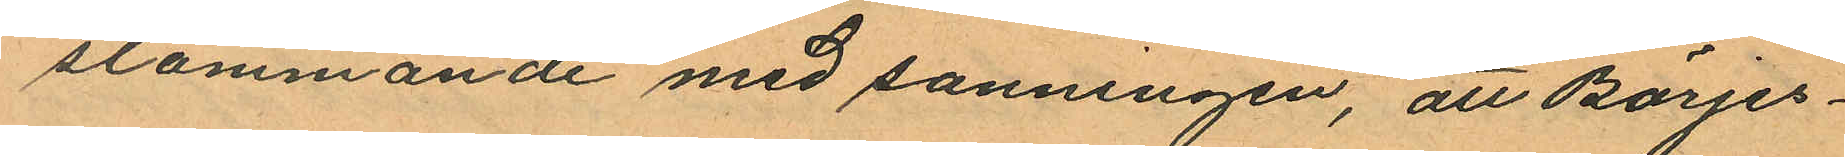stämmande med sanningen, att Börjes¬
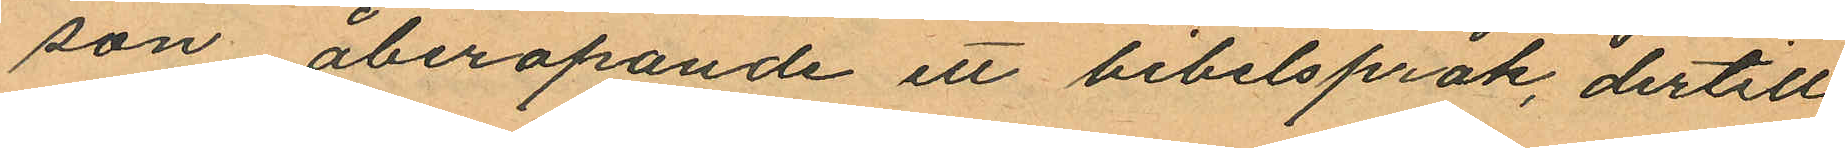son åberopande ett bibelspråk, dertill
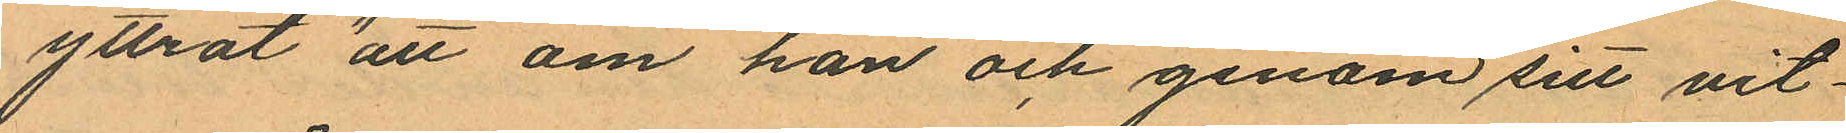yttrat "att om han och genom sitt vit¬
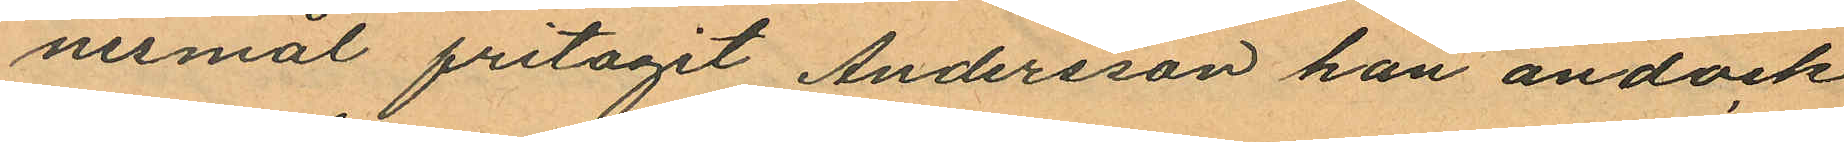nesmål fritagit Andersson han ändock
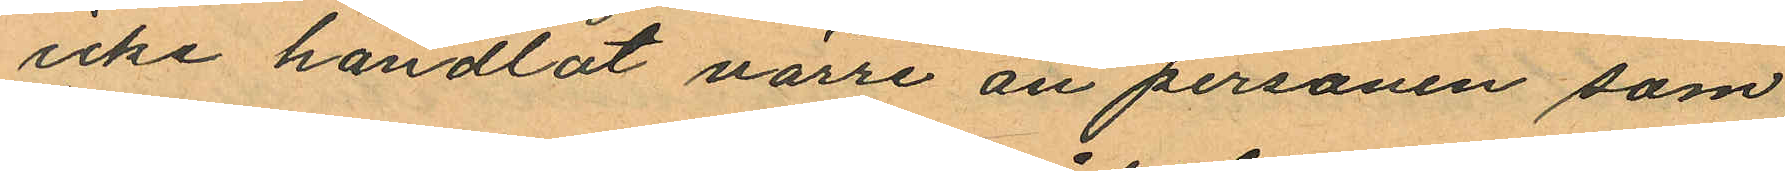icke handlat värre än personen som
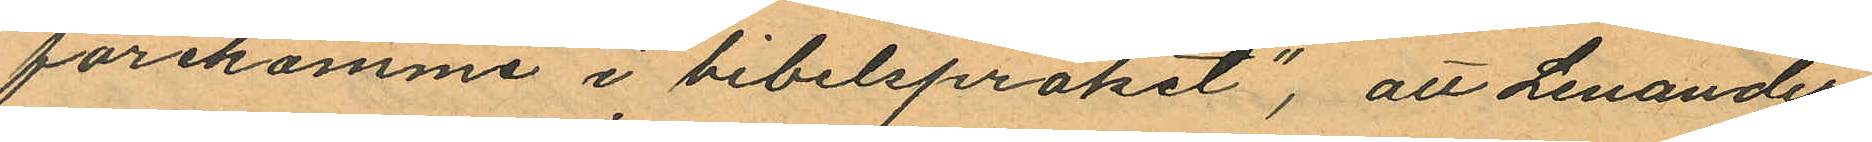förekomme i bibelspråket"; att Lenander
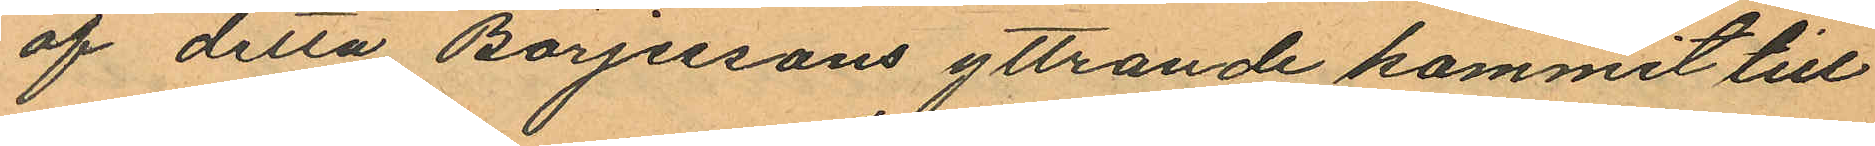af detta Börjessons yttrande kommit till
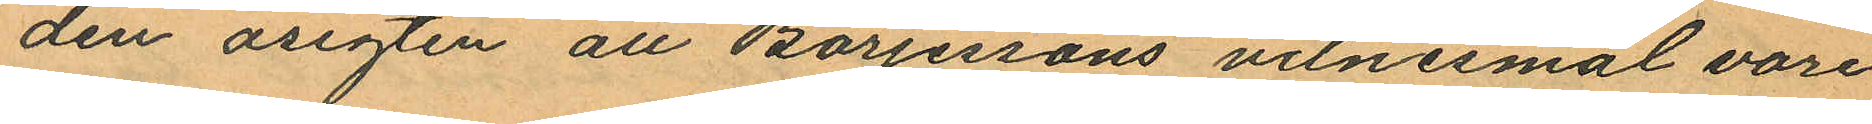den åsigten att Börjessons vilnesmål vore
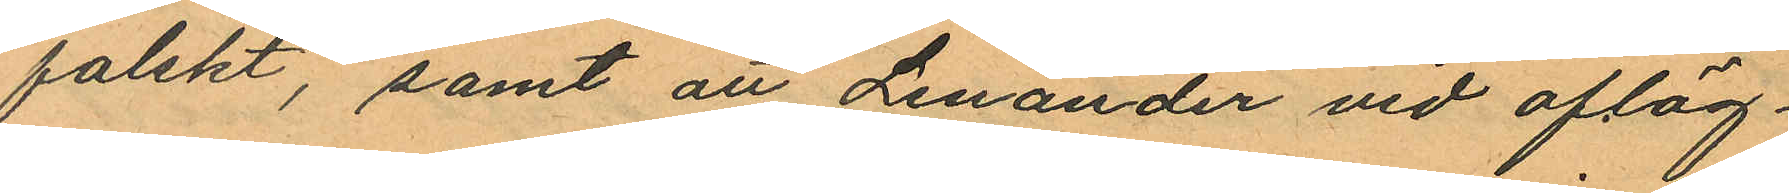falskt, samt att Lenander vid afläg¬
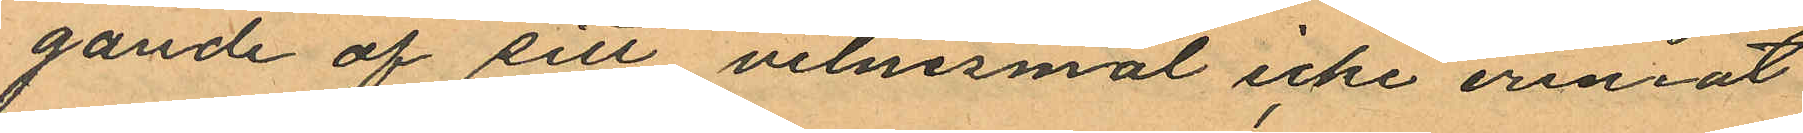gande af sitt vitnesmål icke erinat
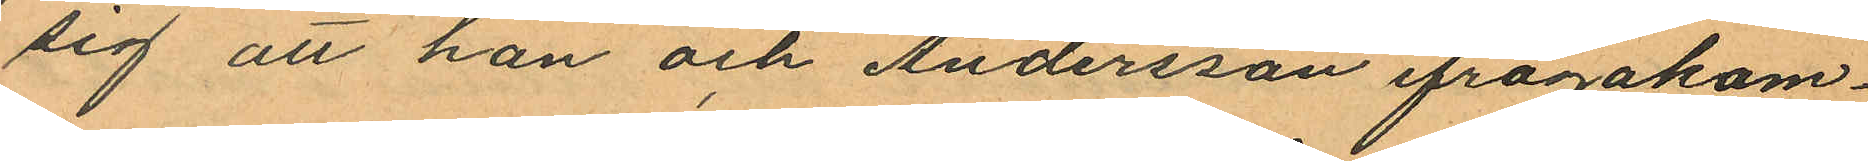sig att han och Andersson ifrågakom¬
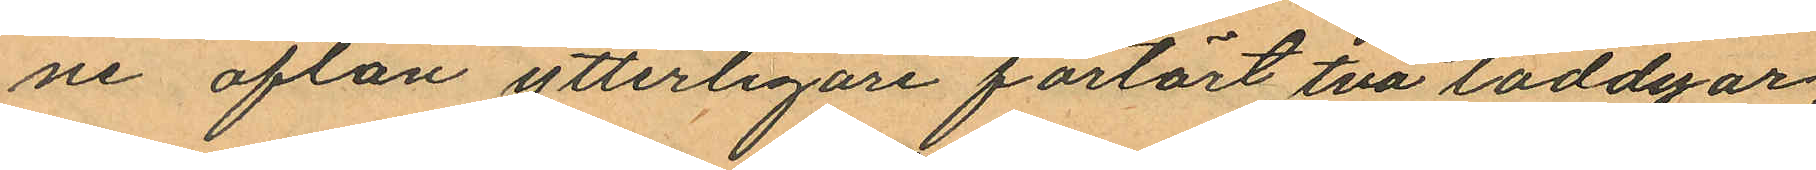ne afton ytterligare förtärt två toddyar
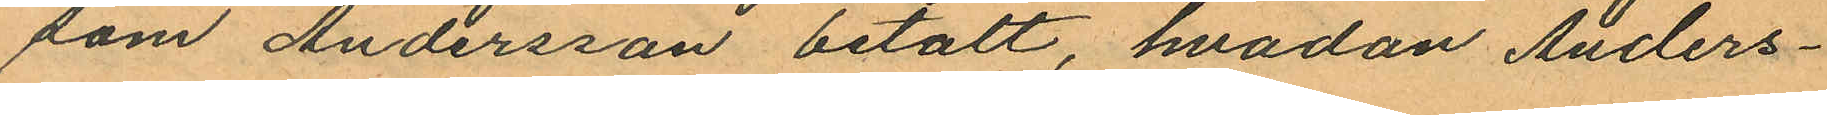som Andersson betalt, hvadan Anders¬
